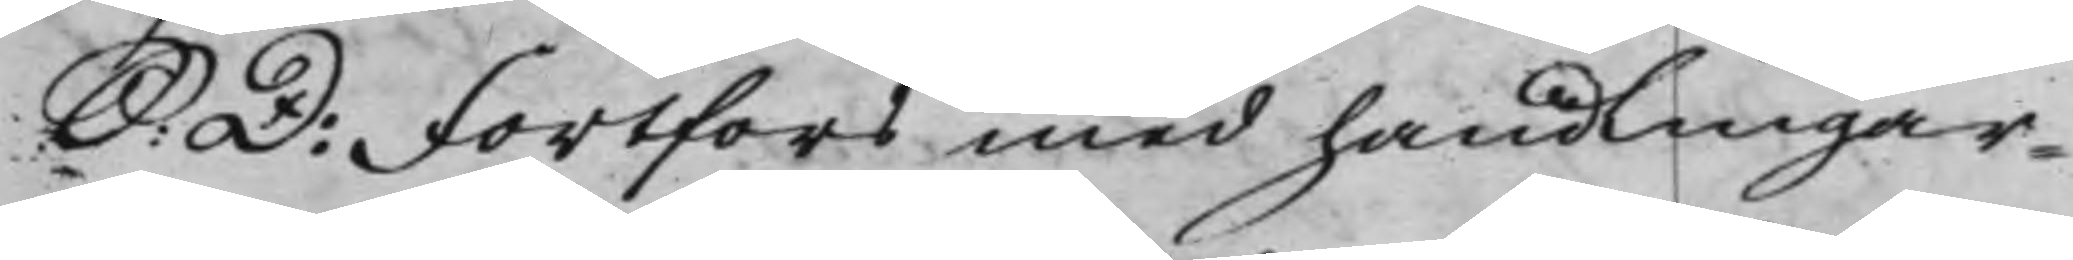S: D. Fortfors med handlingar¬
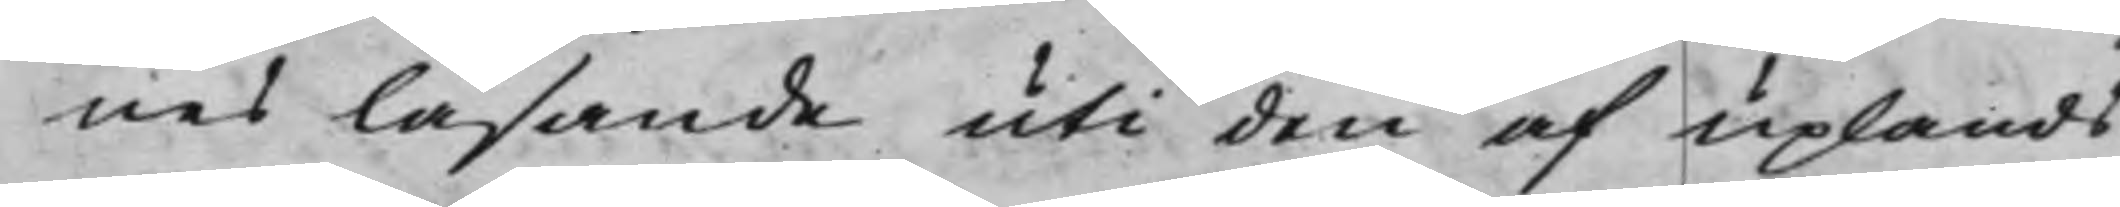nes läsande uti den af Uplands
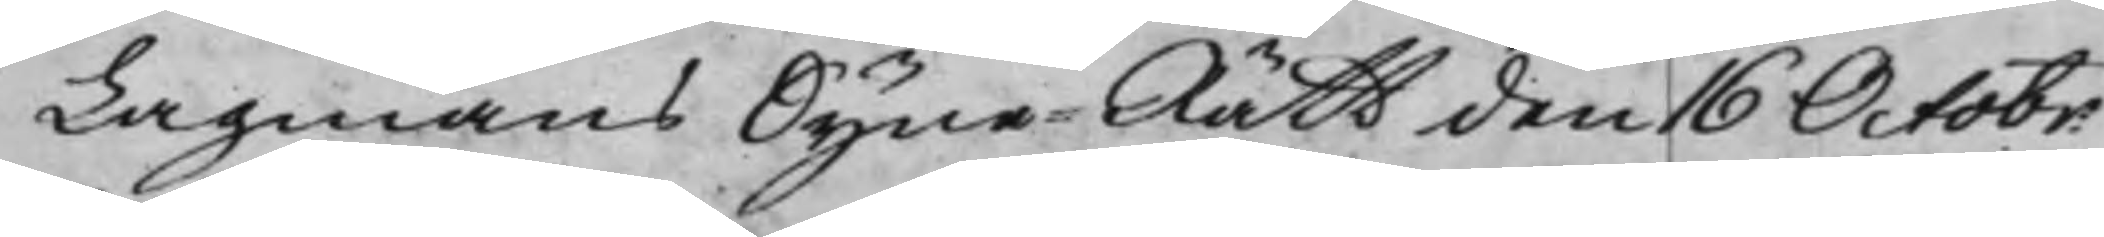Lagmans Syne-Rätt den 16 Octobr:
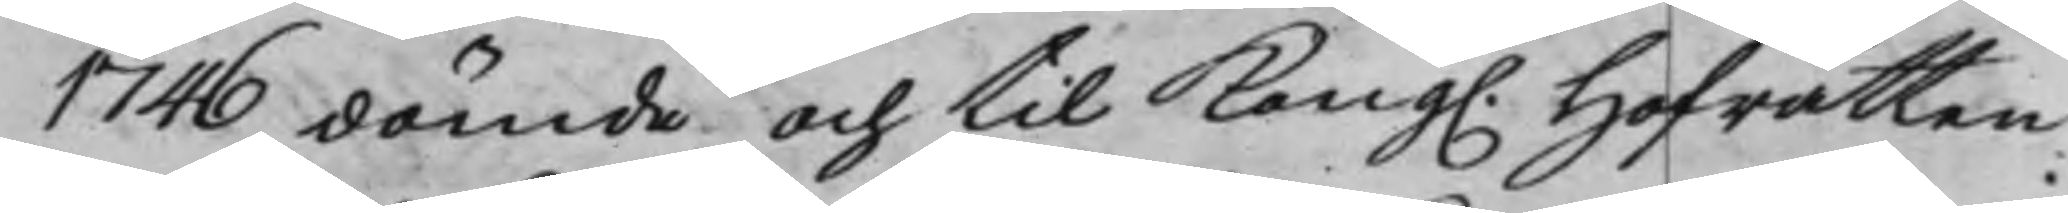1746 dömde och til Kong. Hofrätten
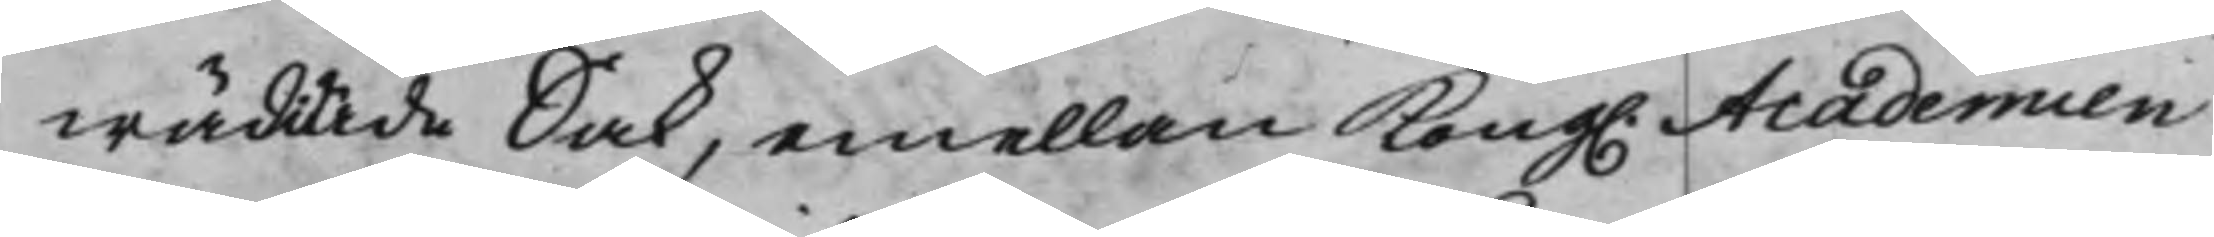wädiade Sak, emellan Kong. Academien
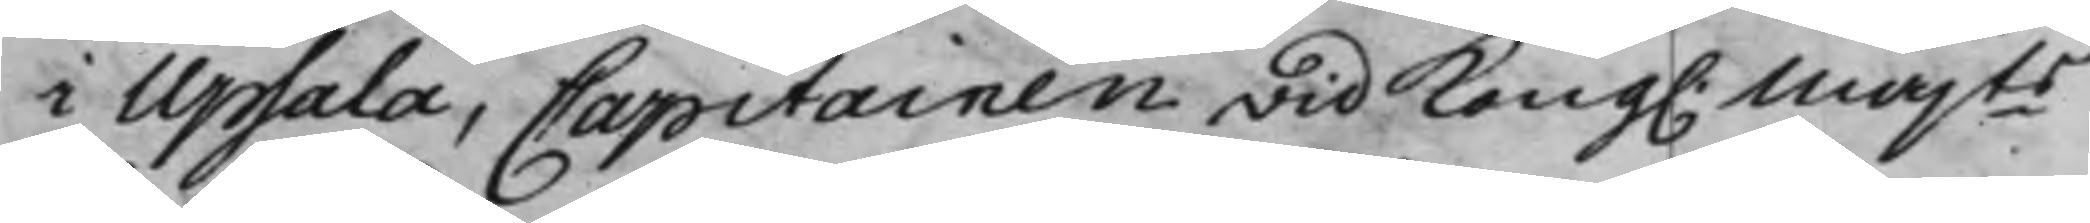i Upsala, Capitainen wid Kong. Majts
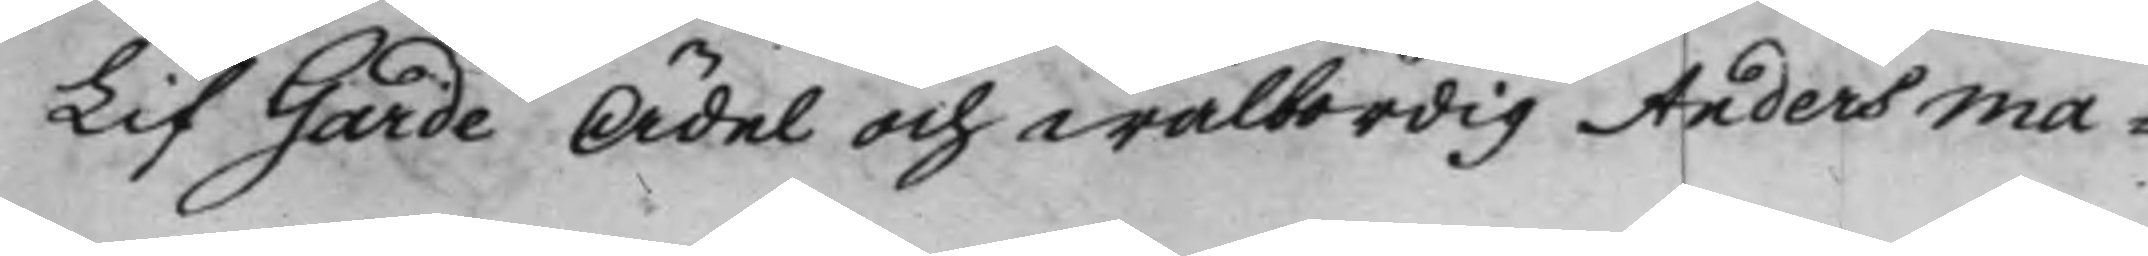Lif Garde Ädel och wälbördig Anders Ma¬
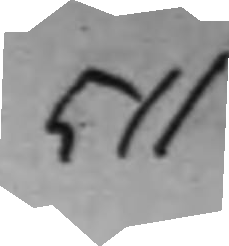511
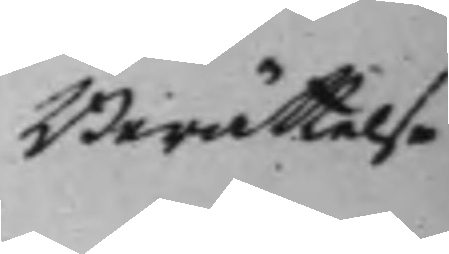Berättelse
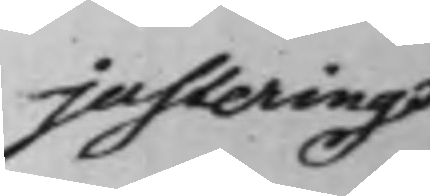justering
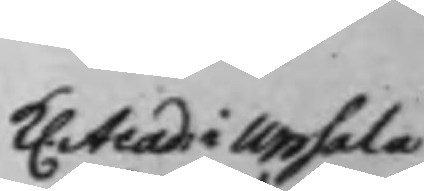k. Acad: i Upsala
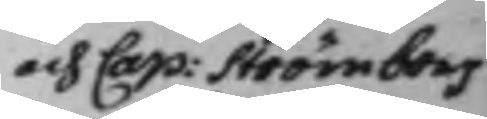och Cap: Strömborg
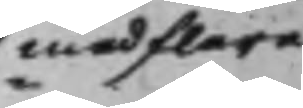med flere
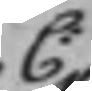C:
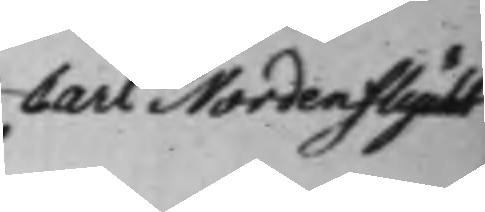Carl Nordenflycht
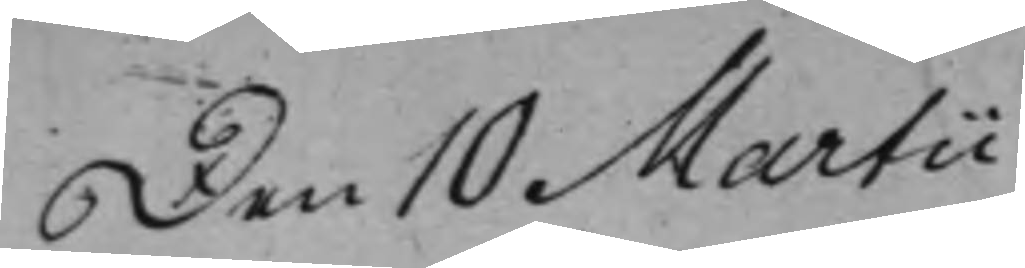Den 10 Martii
